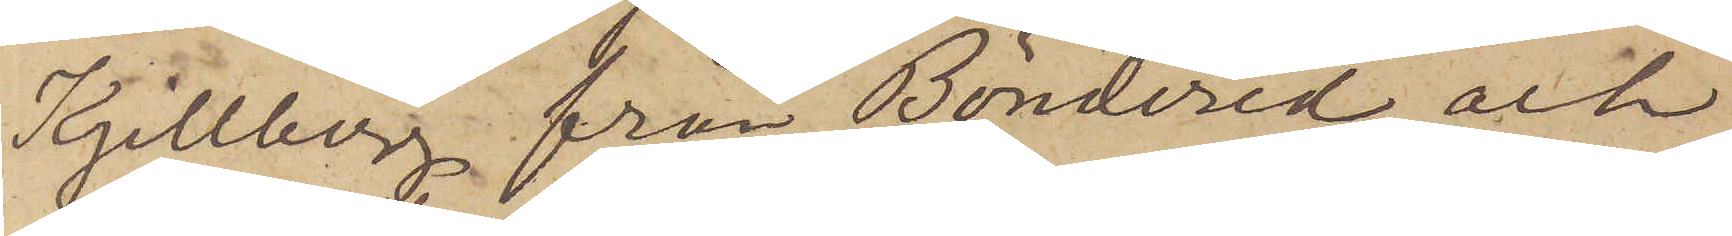Kjellberg från Böndered och
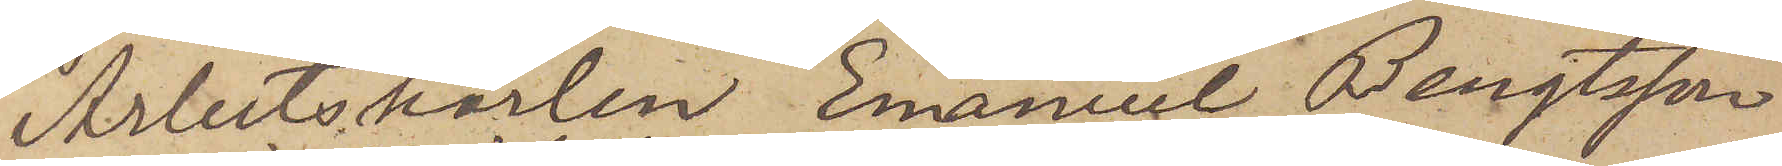Arbetskarlen Emanuel Bengtsson
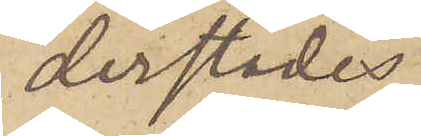derstädes
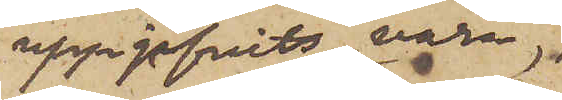uppgifvits vara
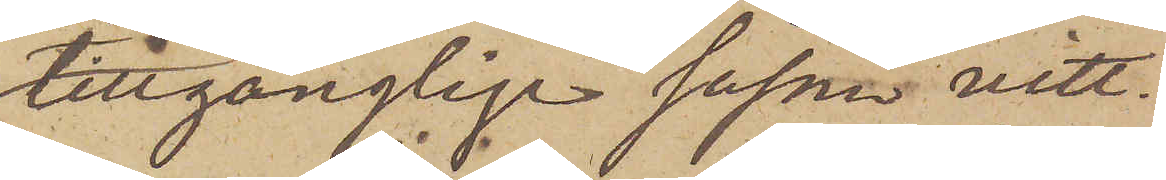tillgänglige såsom vitt¬
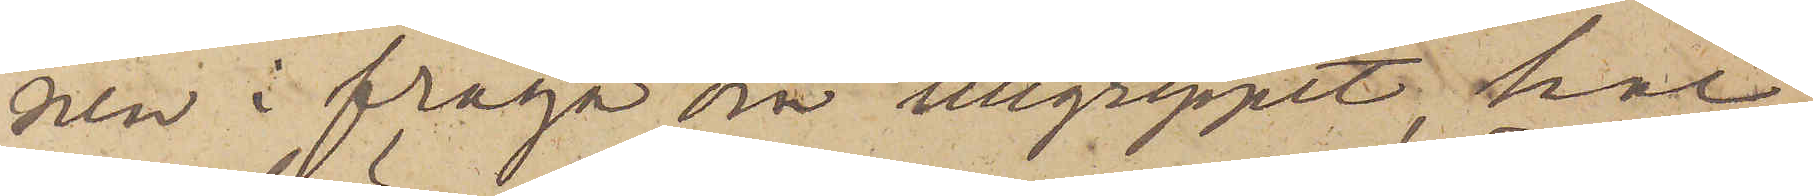nen i fråga om tillgreppet, har
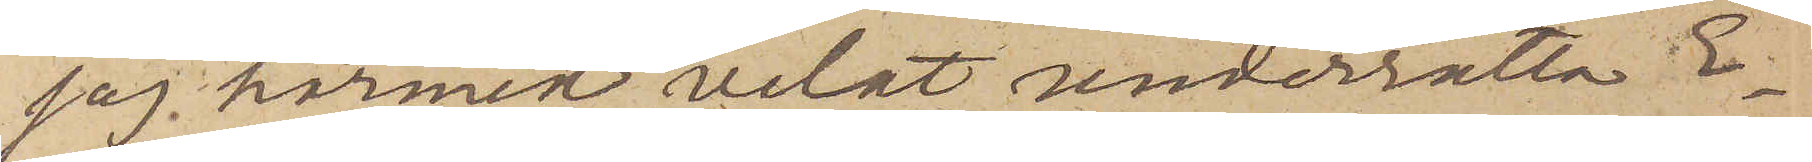jag härmed velat underrätta E¬
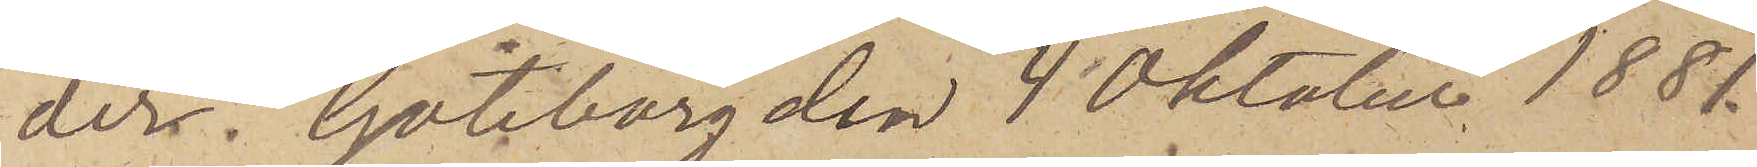der. Göteborg den 4 Oktober 1881.
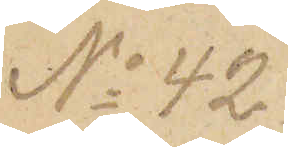No 42.
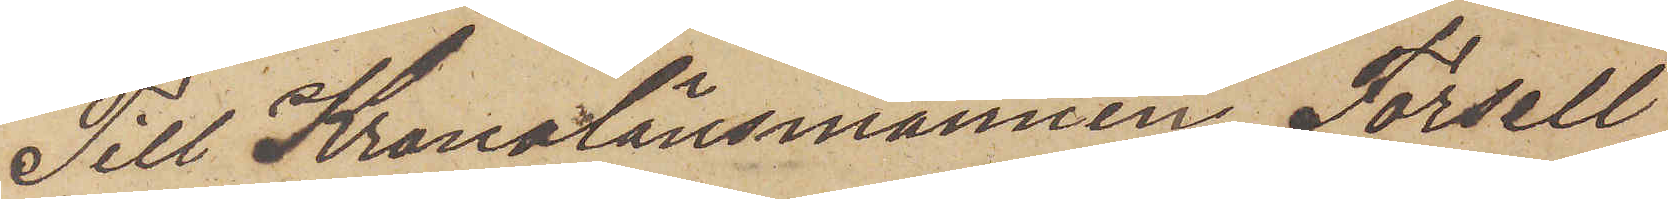Till Kronolänsmannen Forsell
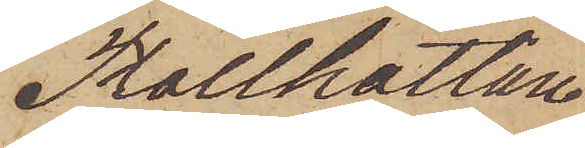Trollhättan
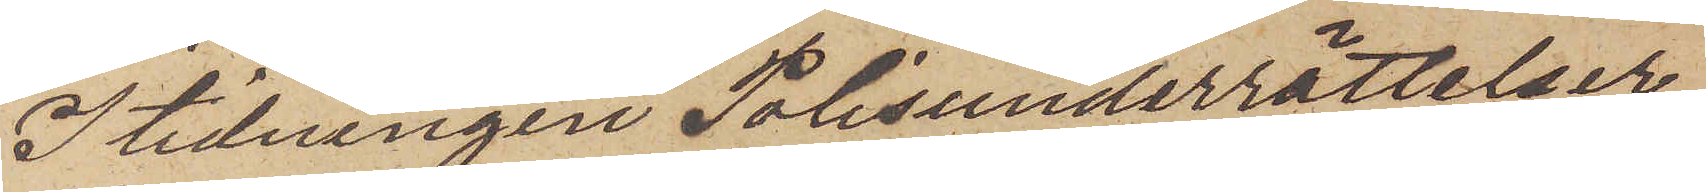I tidningen Polisunderrättelser
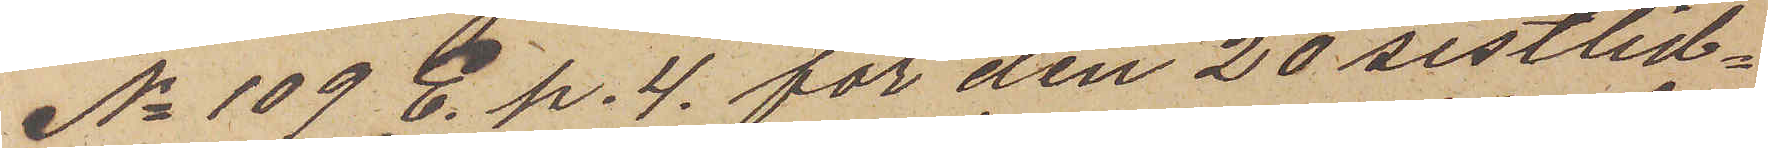No 109 E. p. 4. för den 20 sistlid¬
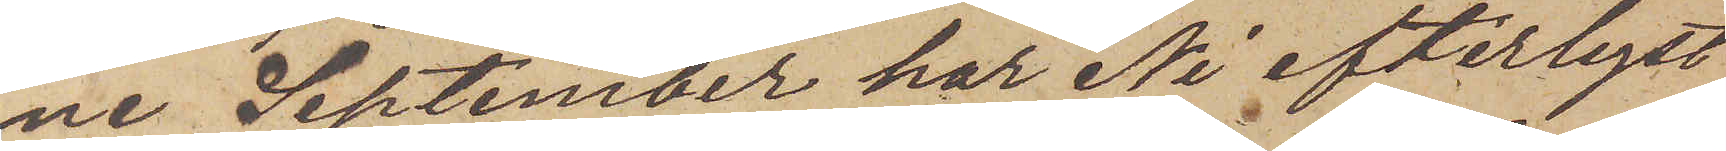ne September har Ni efterlyst
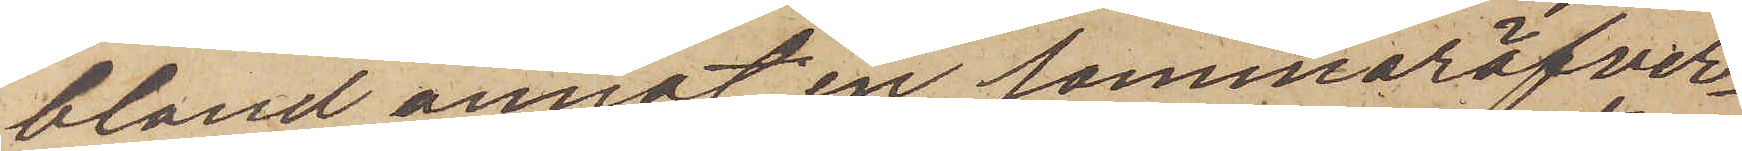bland annat en sommaröfver¬
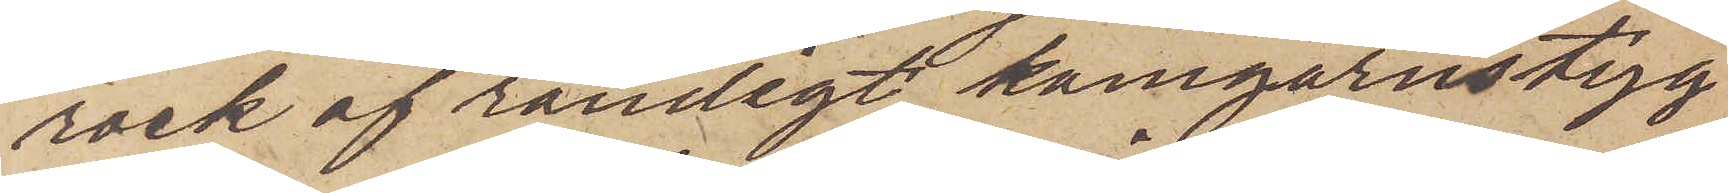rock af randigt kamgarnstyg
